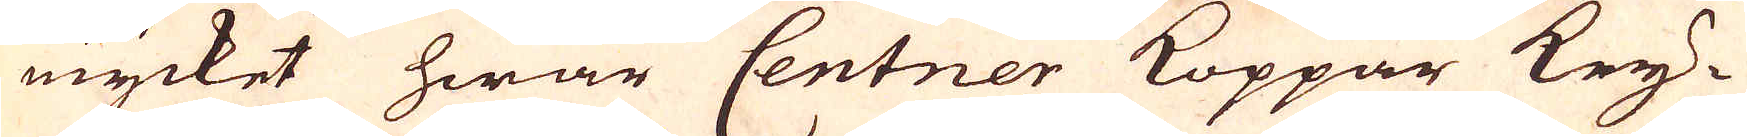mycket hwar Centner Koppar Key-
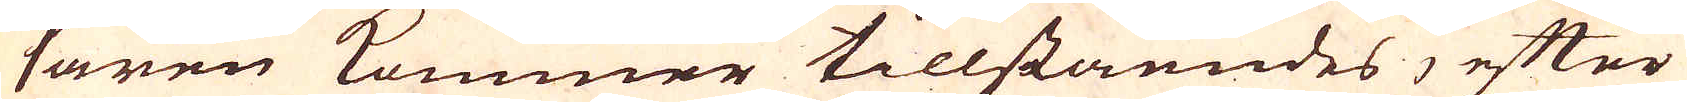saren kommer tillståendes, efter
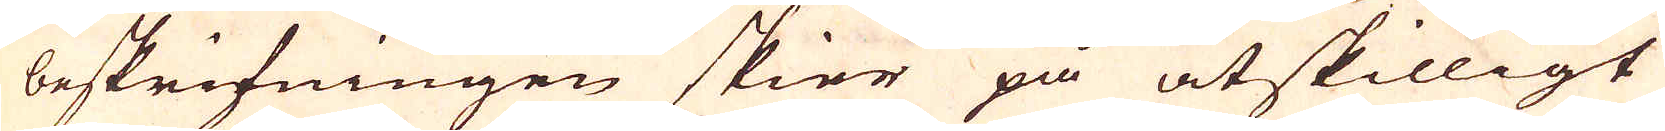beskrifningen skier på åtskilligt
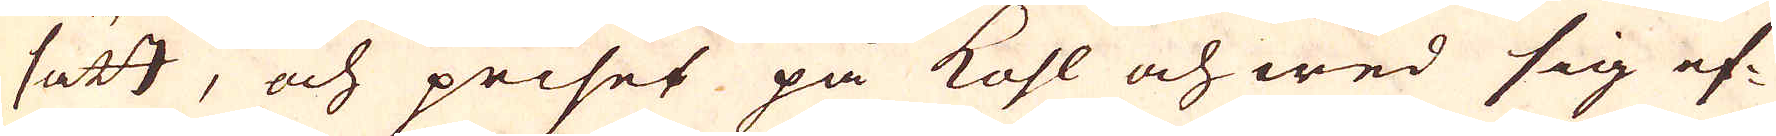sätt, och priset på kohl och wed sig ef-
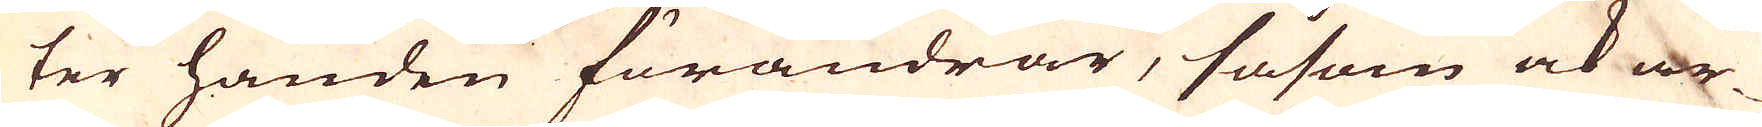ter handen förändrar, såsom ock ar-
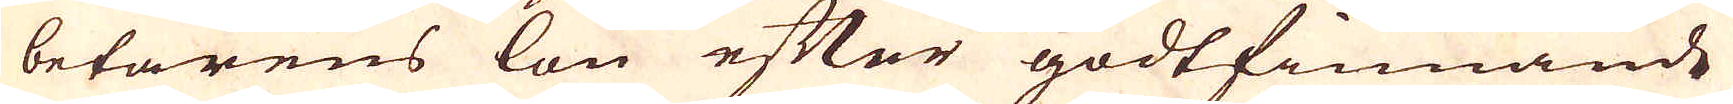betarens lön efter godtfinnande
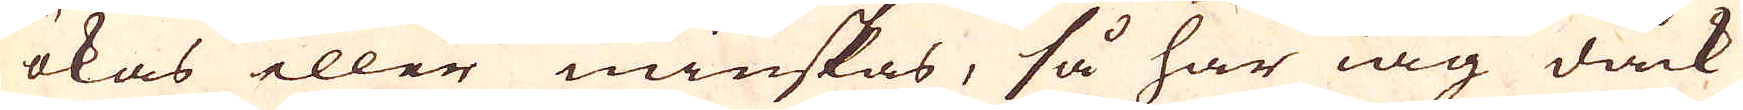ökas eller minskas, så har iag dock
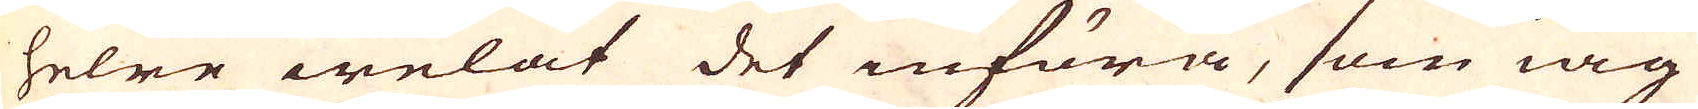helre welat det införa, som iag
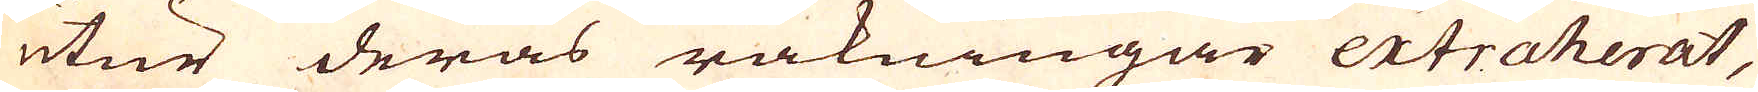utur deras räkningar extraherat,
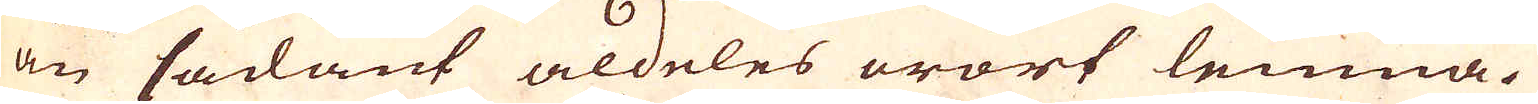än sådant aldeles orört lemna.
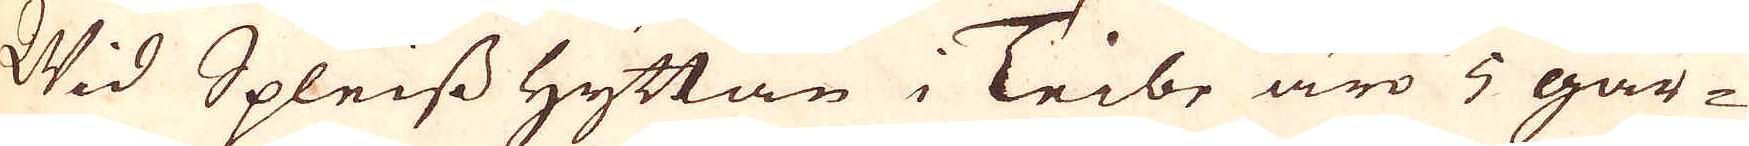Wid Spleiss Hyttan i Teibe äro 5 går-
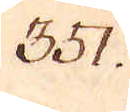351.
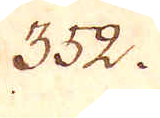352.
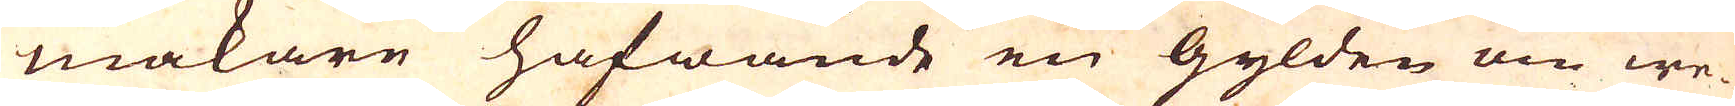makare hafwande en Gylden om we-
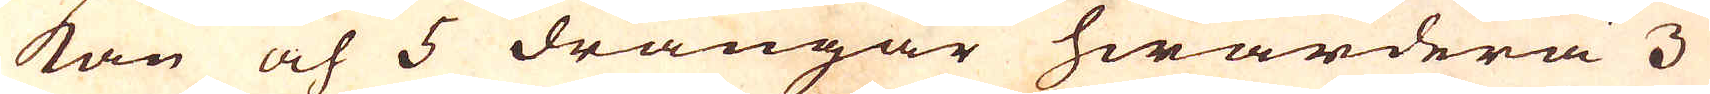kan och 5 drängar hwardera 3
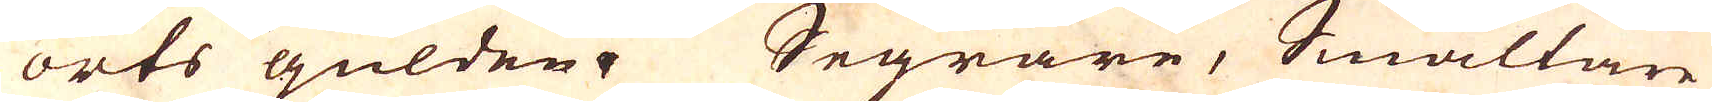orts gülden. Segrare, Smältare
